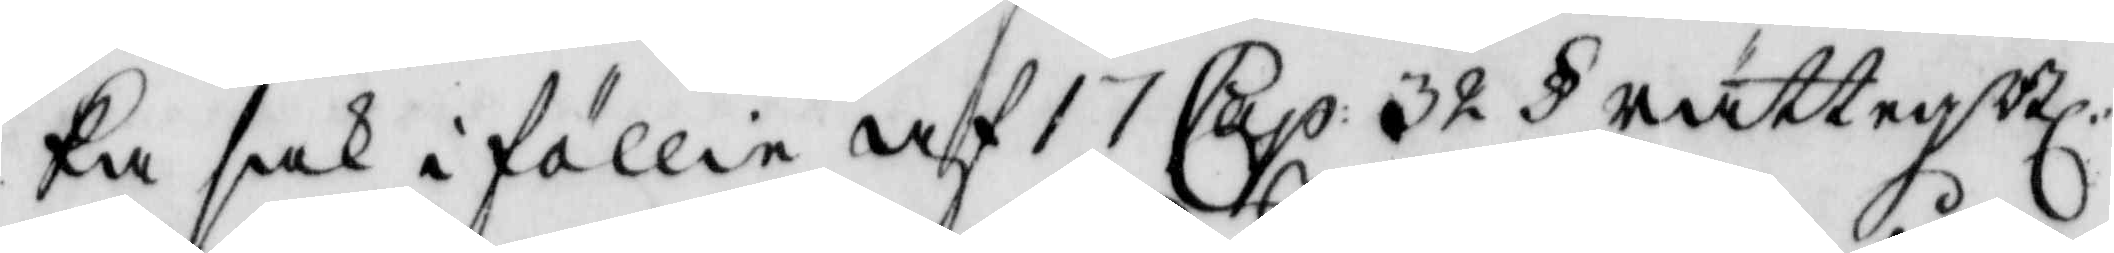ka sak i föllie af 17 Cap: 32 § rättegBl:
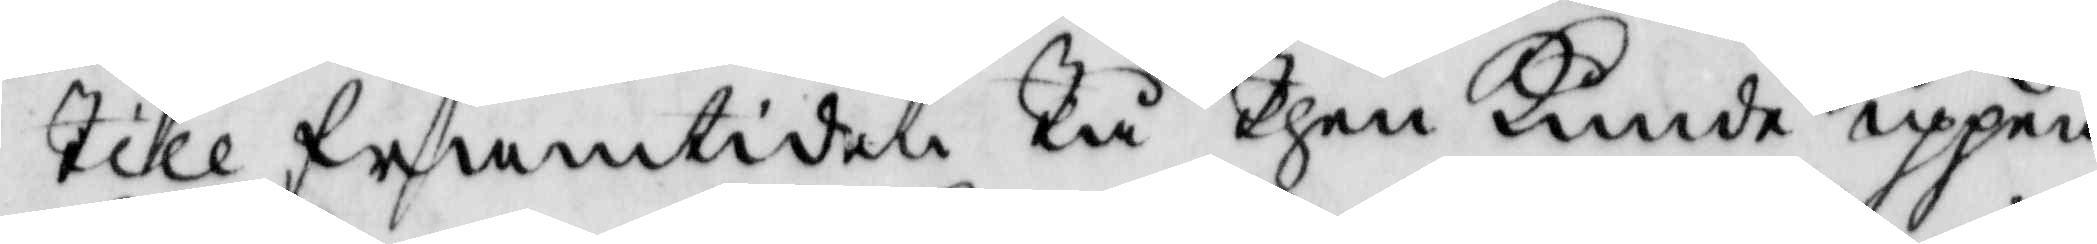Till framtiden Tå Then kunde uppen¬
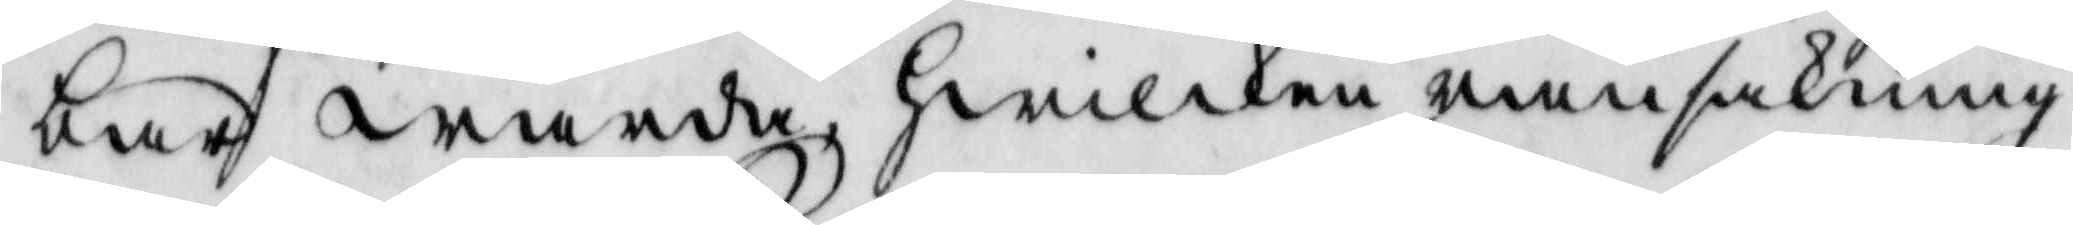bar warda, Hwilken ransakning
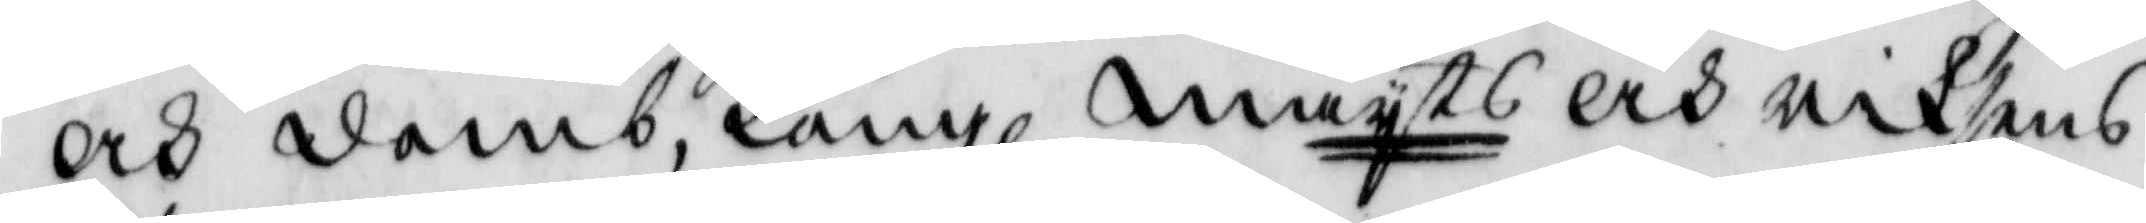och domb, Kongl. mayts och riksens
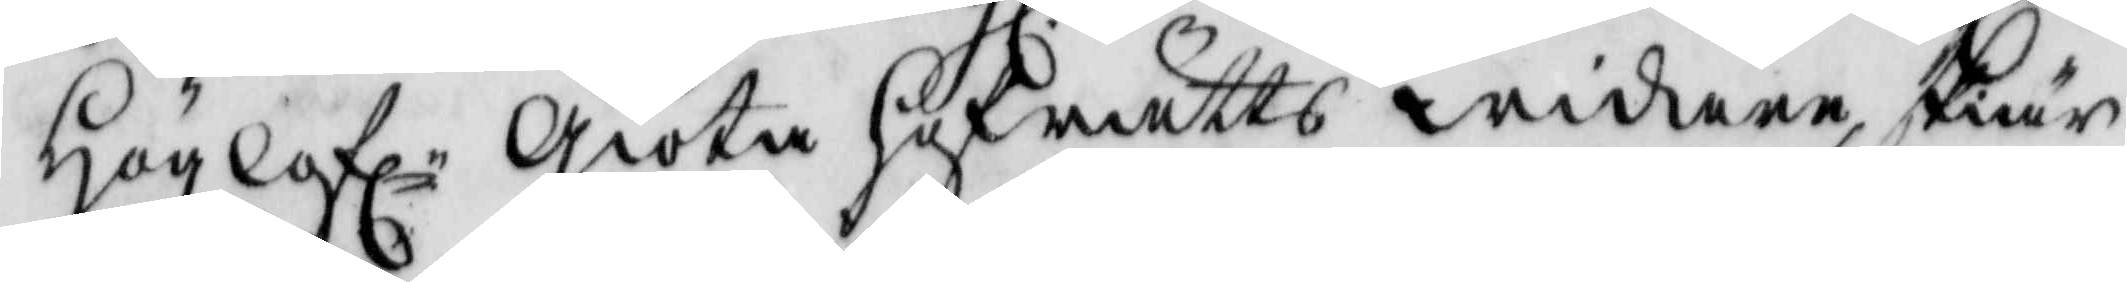Höglofle Giöta hofrätts widare skiär¬
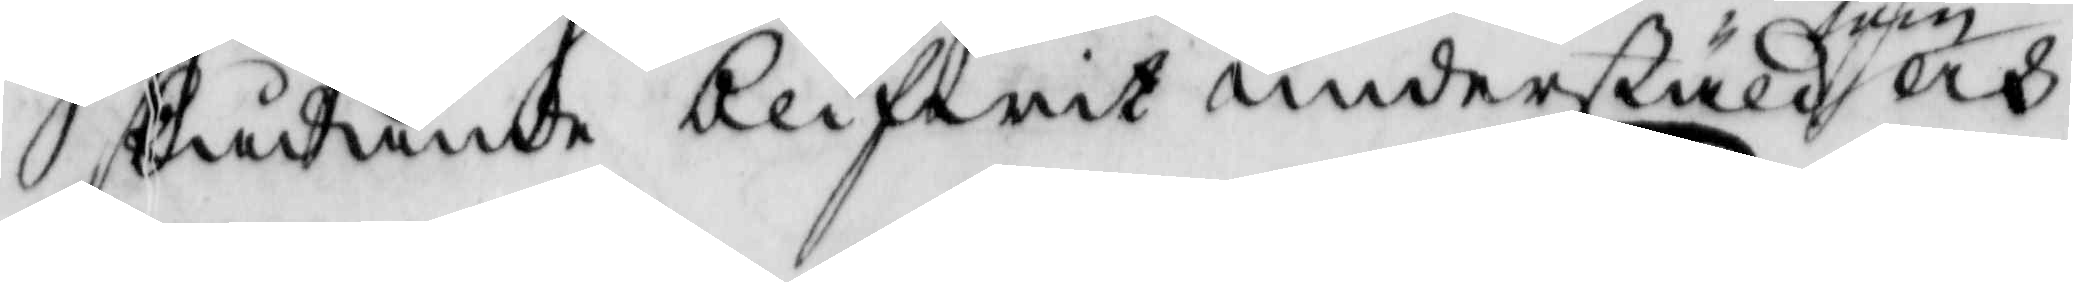skådande blifwit understäld som och
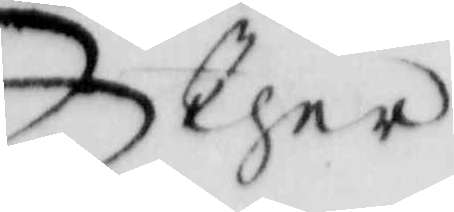Ther
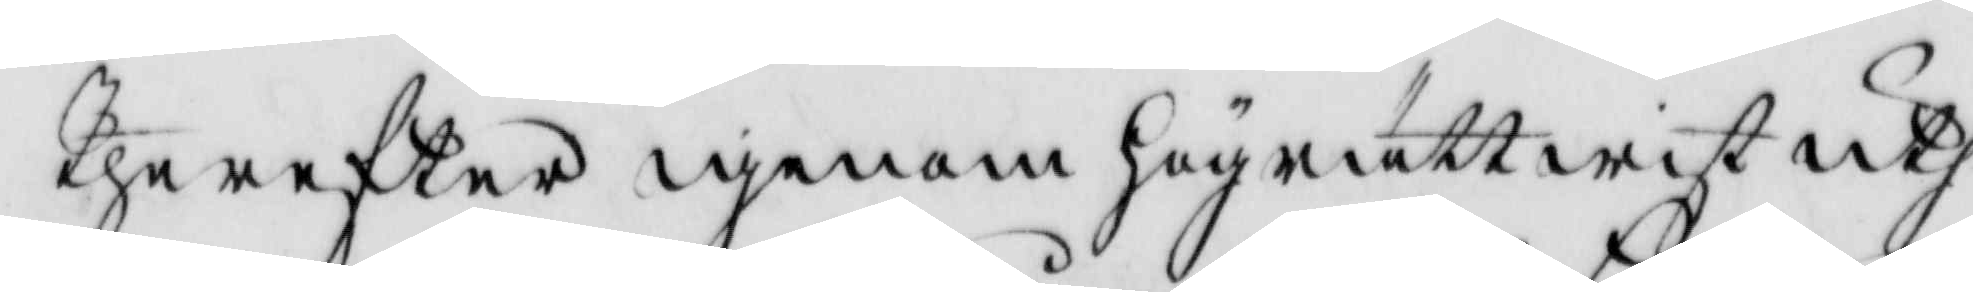Therefter igenom högrättwist uth¬
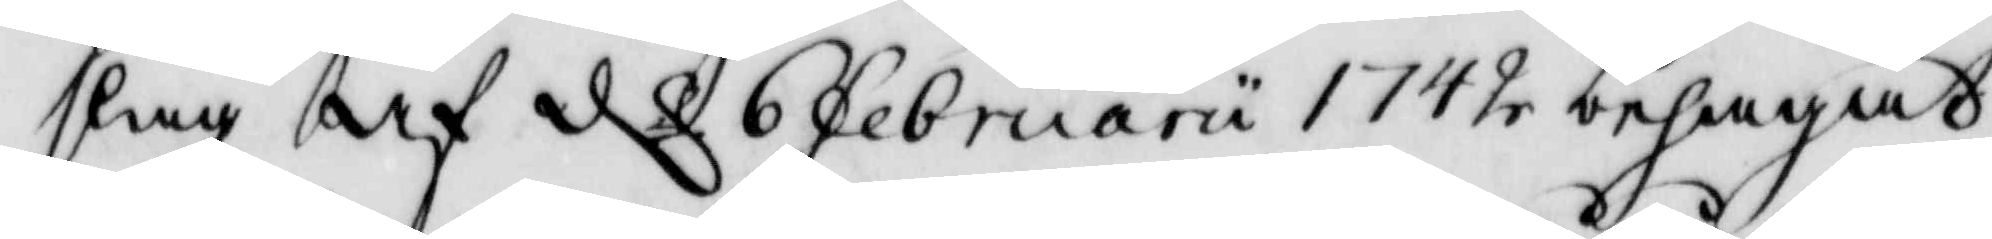slag af d 6 februarii 1742 behagat
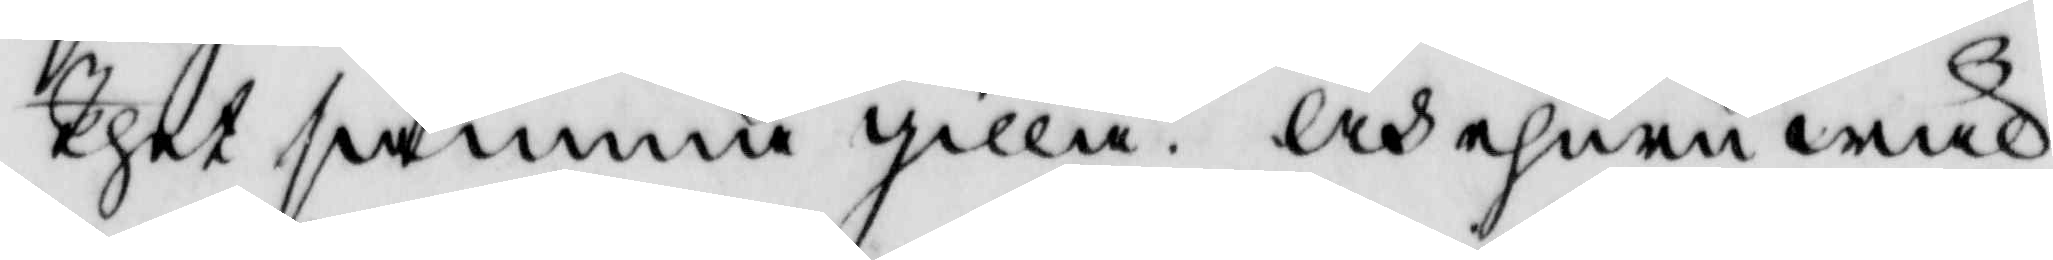Thet samma gilla. Och ehuru wäl
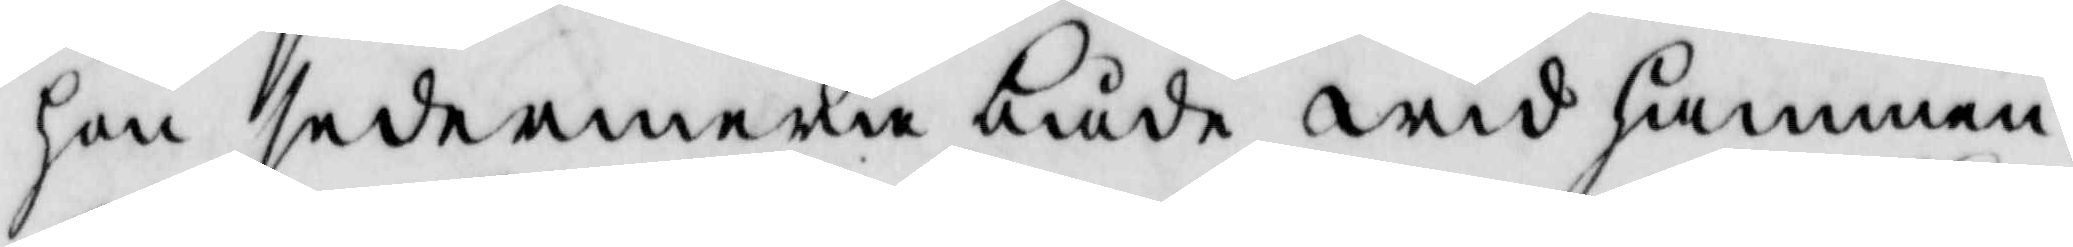hon sedermera både wid  hammen¬
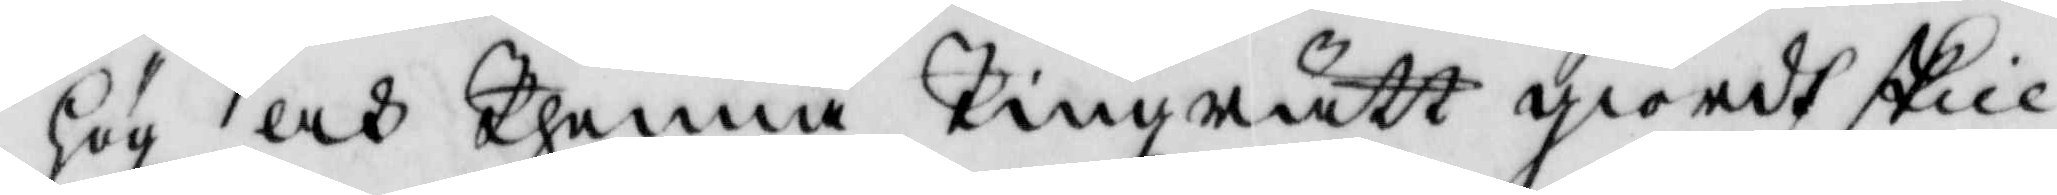hög och Thenna Tingzrätt giordt skill¬
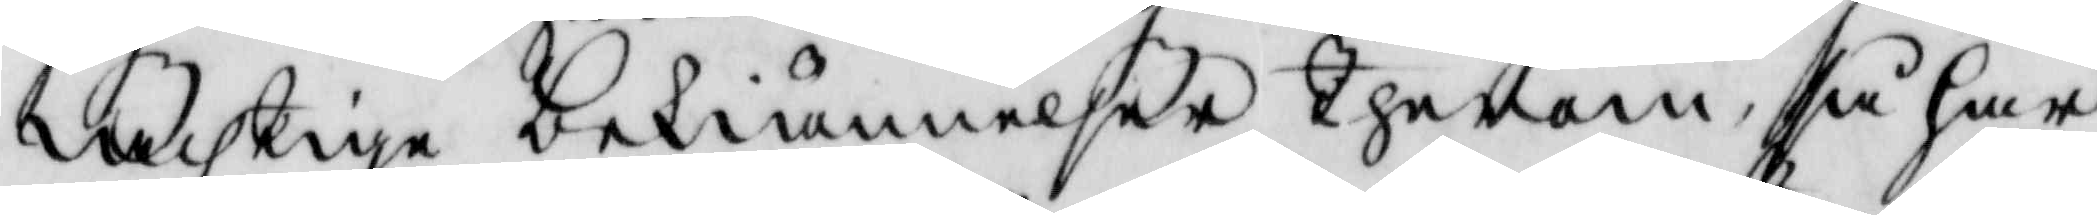achtige bekiännelser Therom, så har
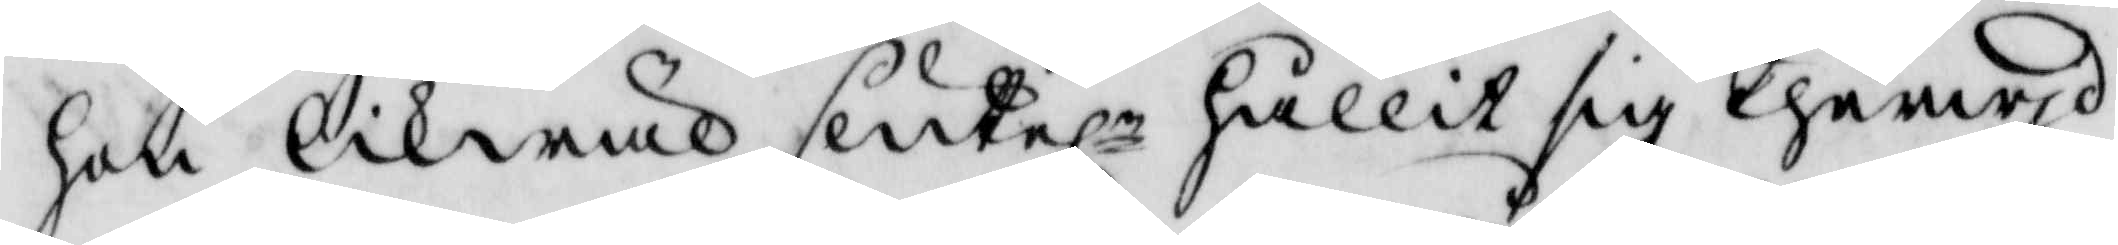hon likwäl sluteln hållit sig Therwjd
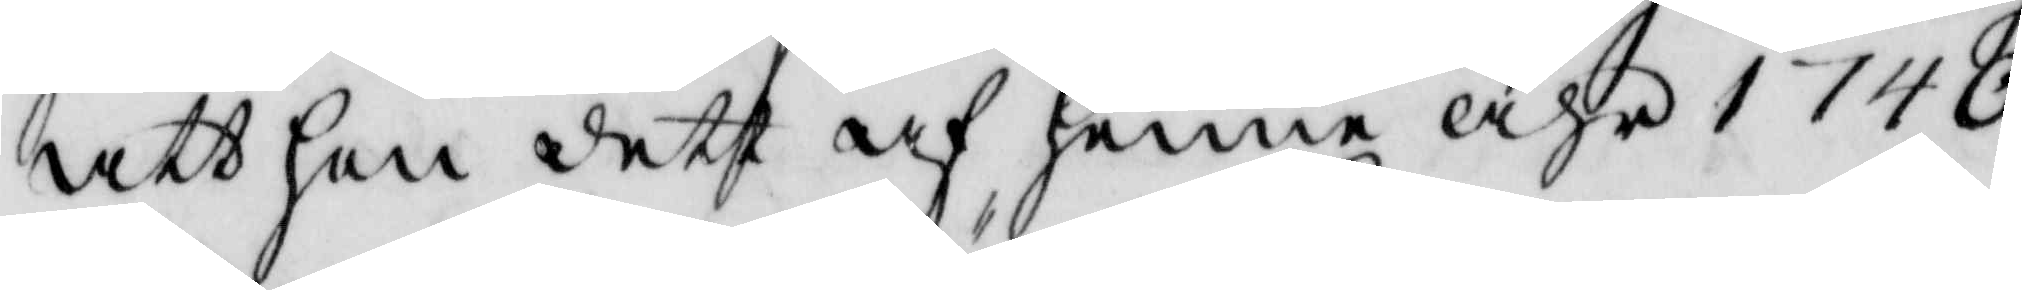att han deth af henne åhr 1740
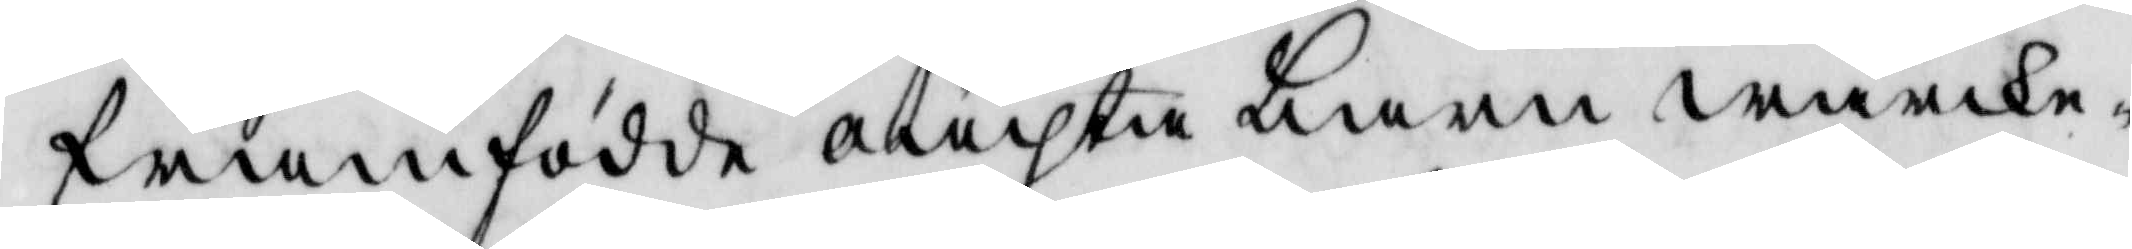framfödde oächta barn wärke¬
